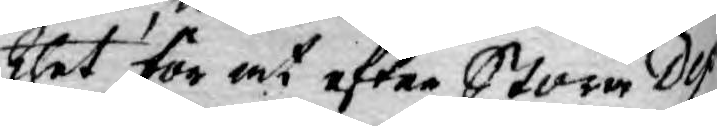thet för at efter Stora Dep¬
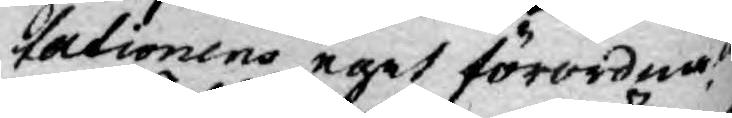utationens eget förordnade
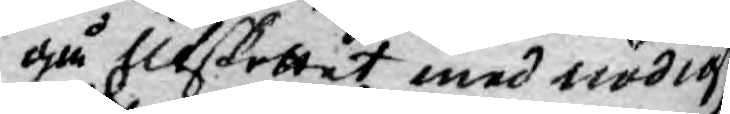gå Uttskottet med nödige
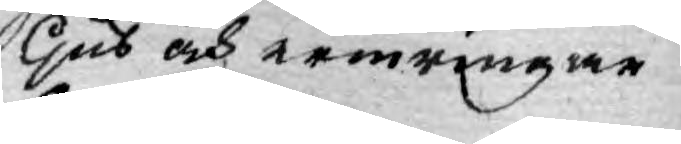ljus och erinringar til
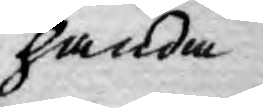handa
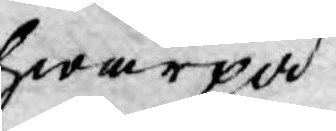hwarpå
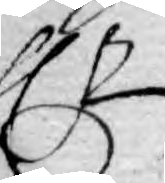Hr
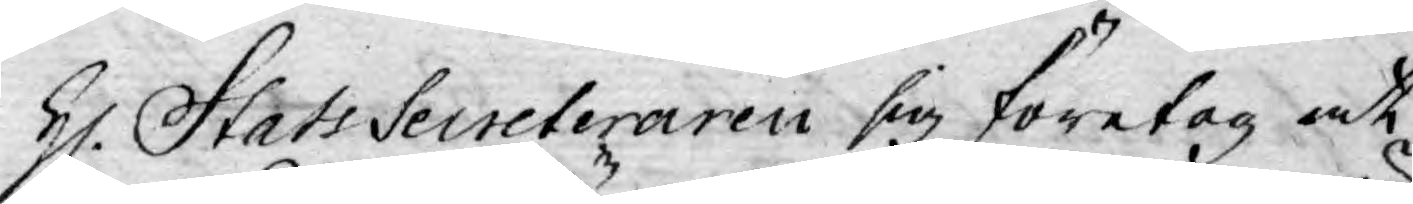H. Stats Secreteraren sig företog at
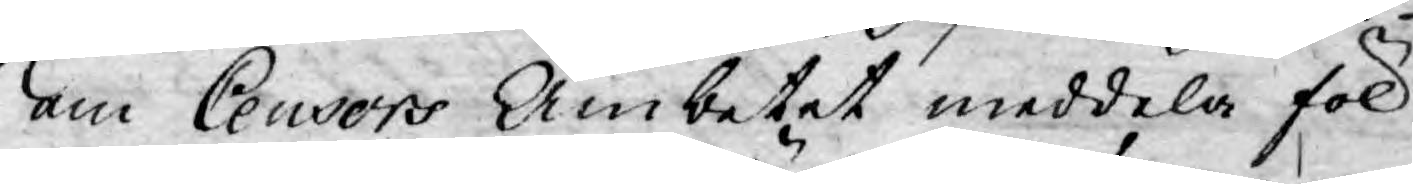om Censors Ämbetet meddela föl¬
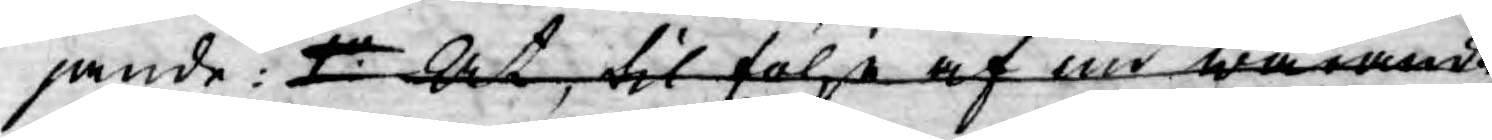jande: 1:o At, til följe af nu warande
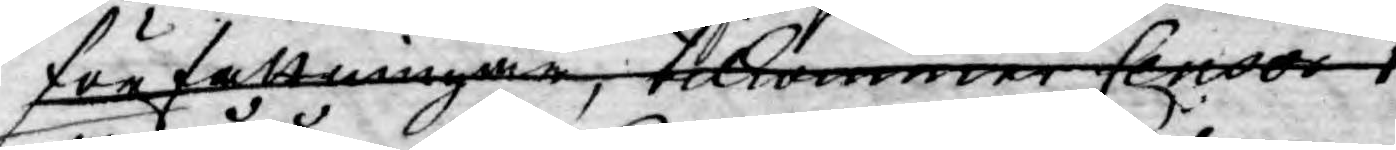författningar, tilkommer Censur 1:o
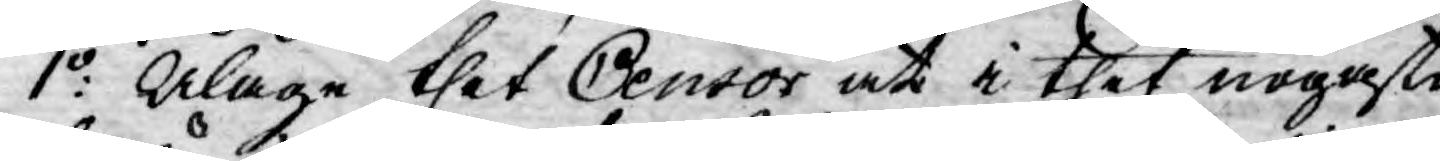1:o Ålåge thet Censor at i thet nogaste
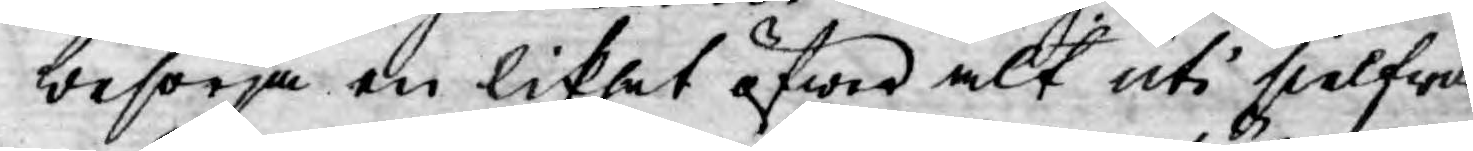besörja en likhet öfwer alt uti sielfwa
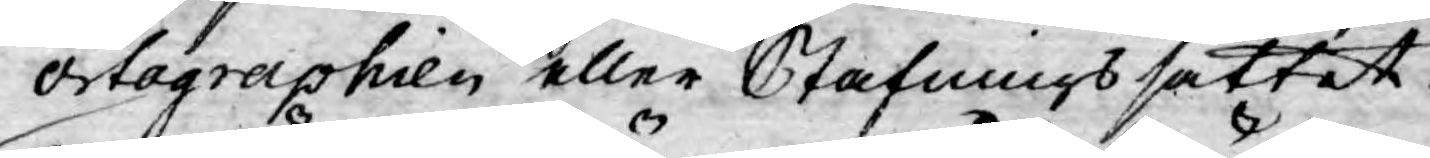ortographien eller Stafningssättet:
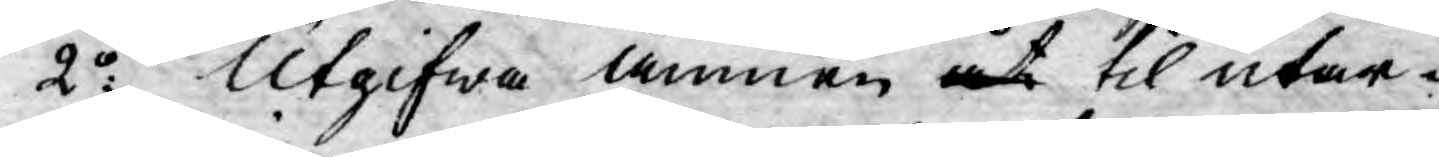2:o Utgifwa ämnen åt til utar¬
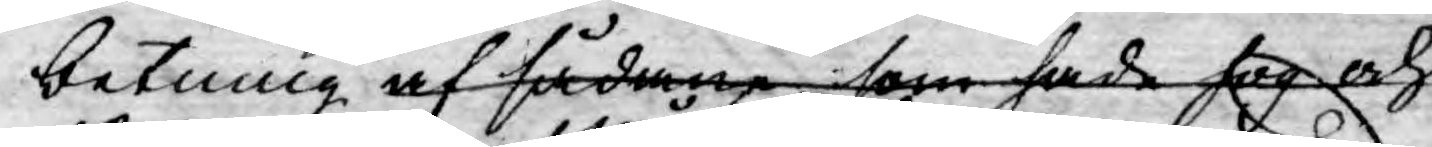betning af sådane som hade fog och
